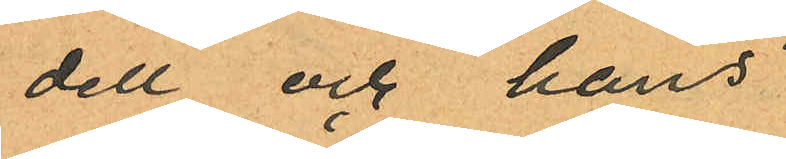dell och hans
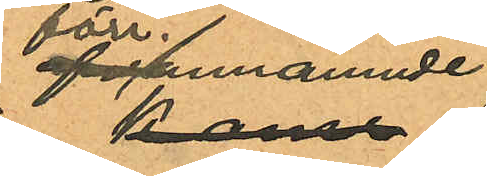förr. utnämnde
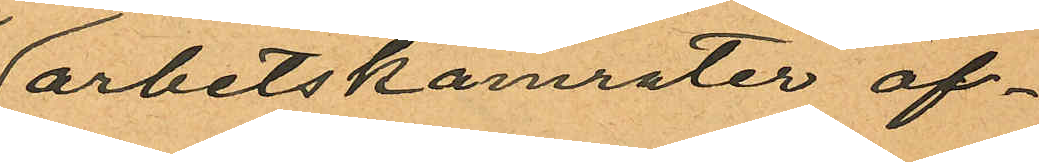arbetskamrater öf¬
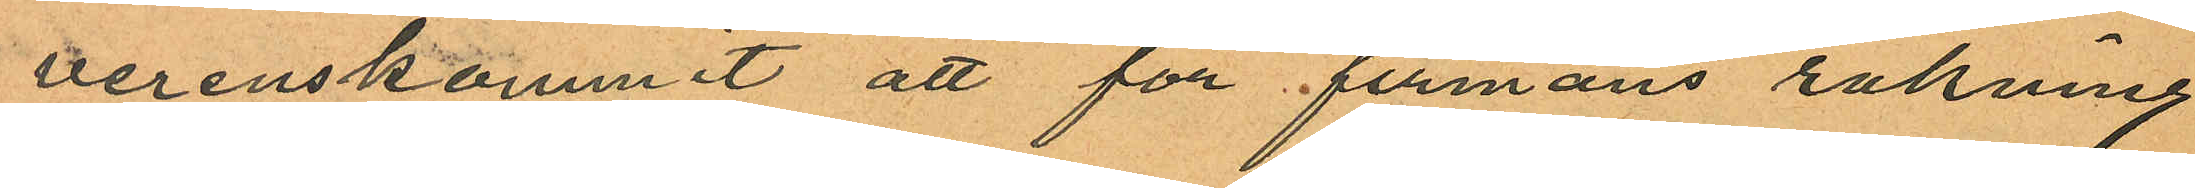verenskommit att för firmans räkning
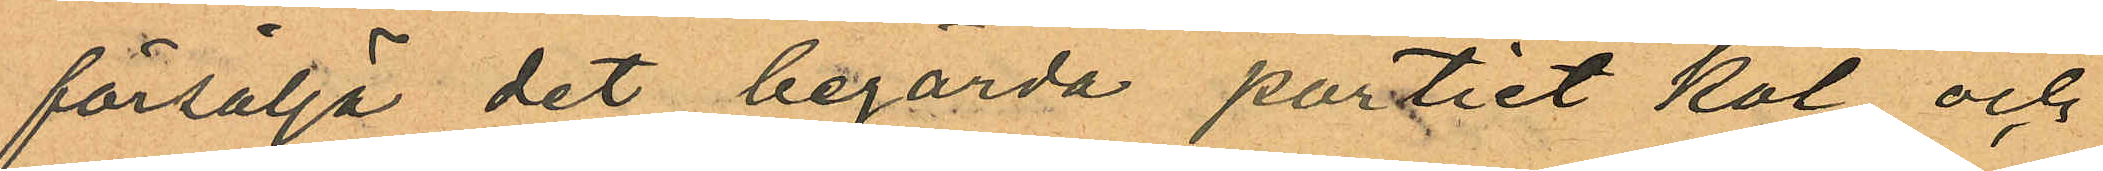försälja det begärda partiet kol och
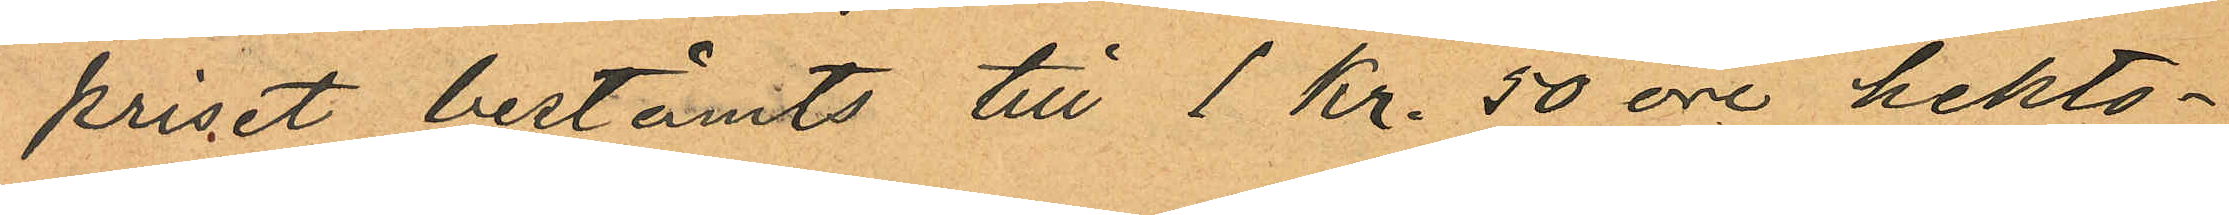priset bestämts till 1 Kr. 50 öre hekto¬
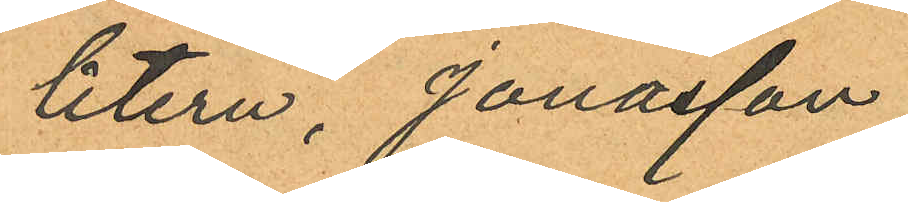litern, Jonasson
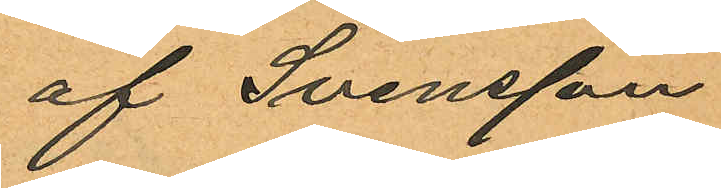af Svensson
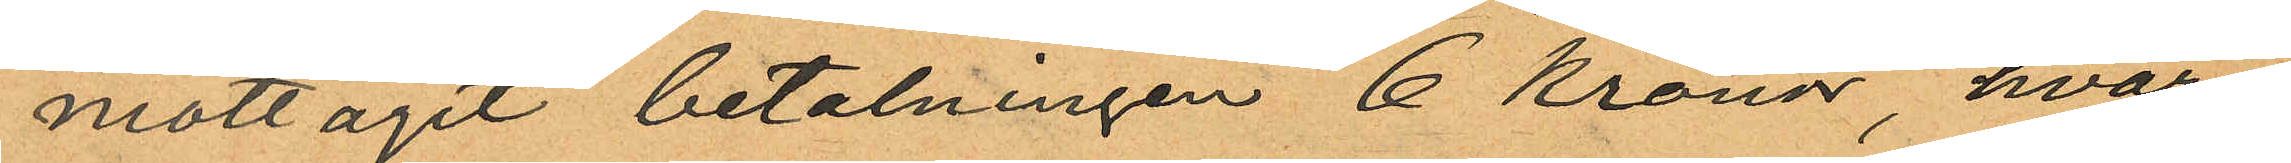mottagit betalningen 6 kronor, hvar¬
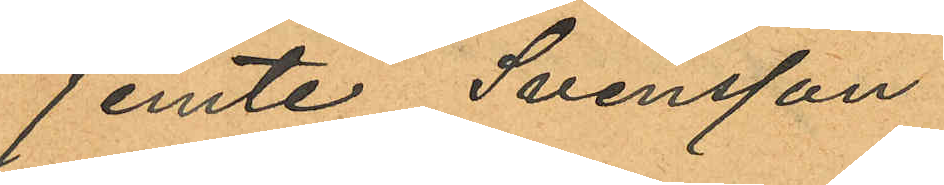jemte Svensson
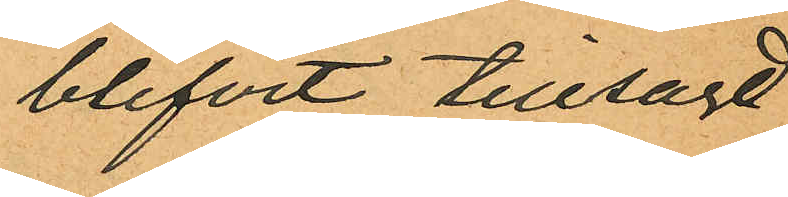blifvit tillsagt
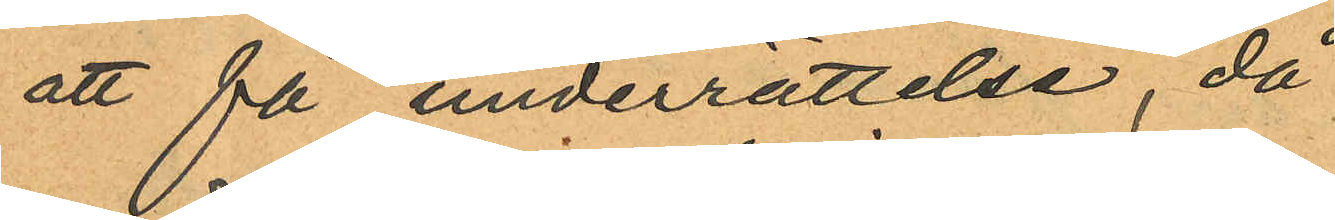att få underrättelse, då
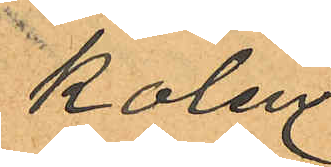kolen
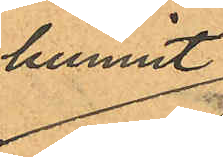hunnit
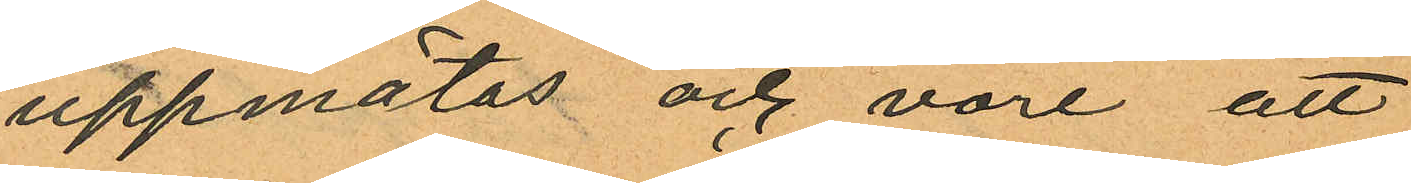uppmätas och vore att
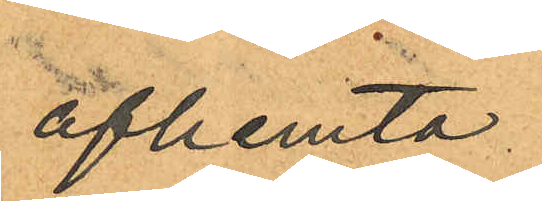afhemta
